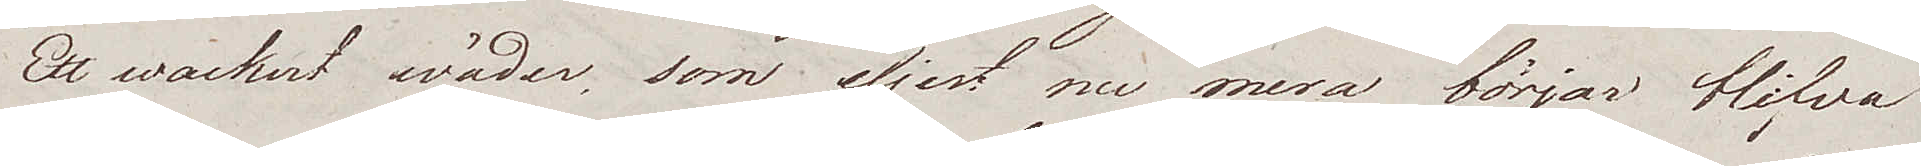Ett wackert wäder, som eljest nu mera börjar blifva
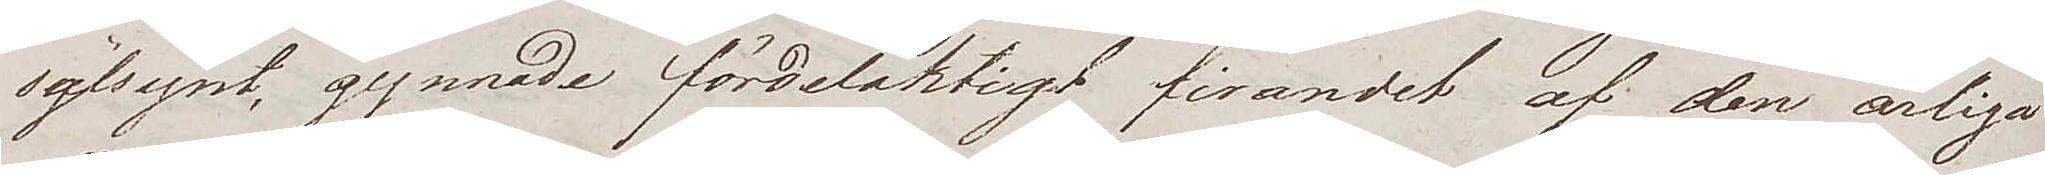sälsynt, gynnade fördelaktigt firandet af den årliga
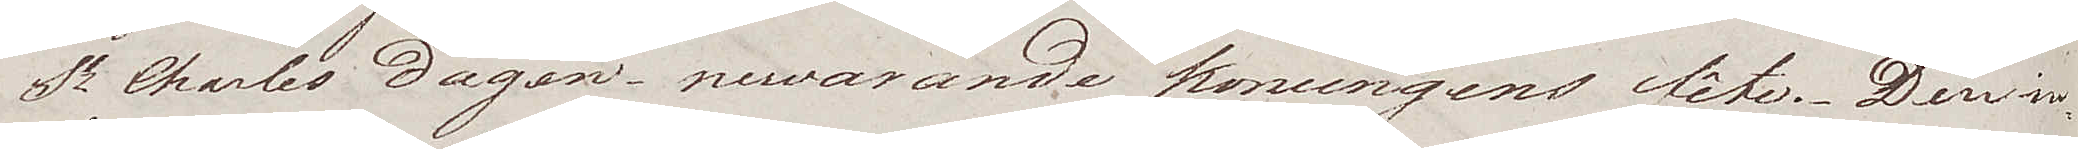St Charles dagen – nuwarande konungens fête. Den in¬
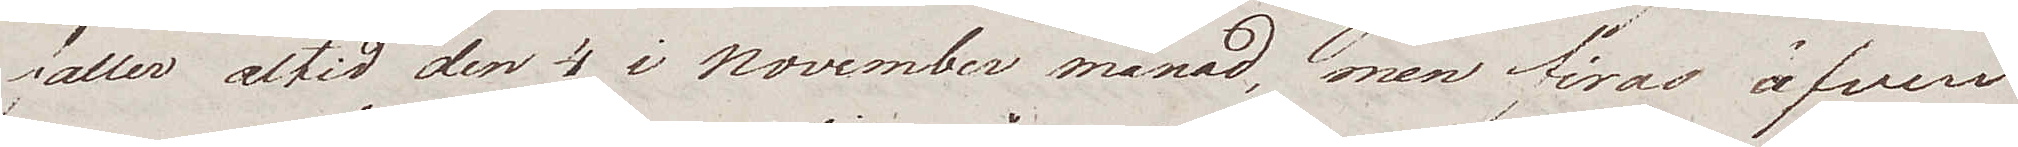faller altid den 4 i November månad, men firas äfven
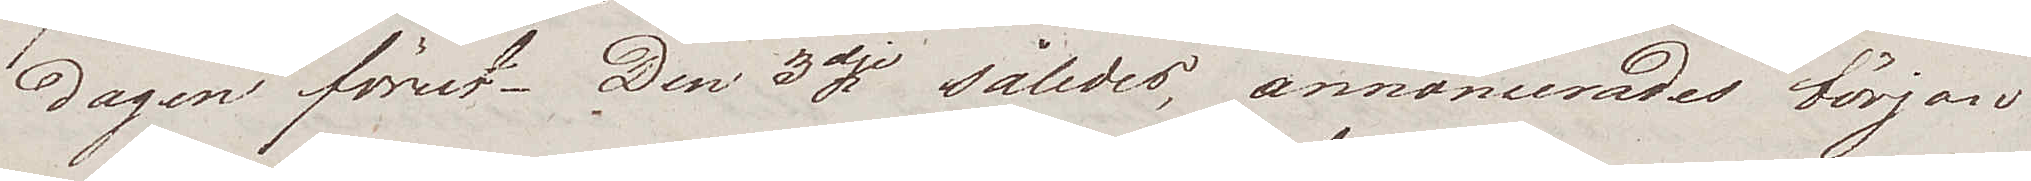dagen förut. Den 3dje således, annoncerades början
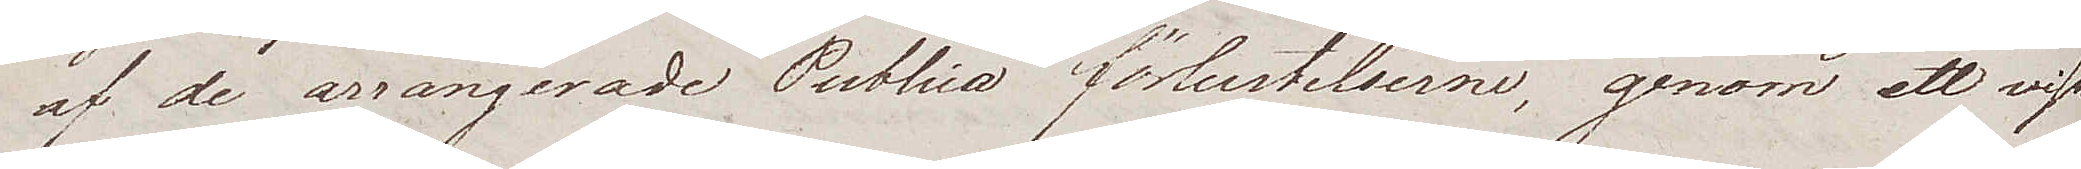af de arrangerade Publica förlustelserne, genom ett visst
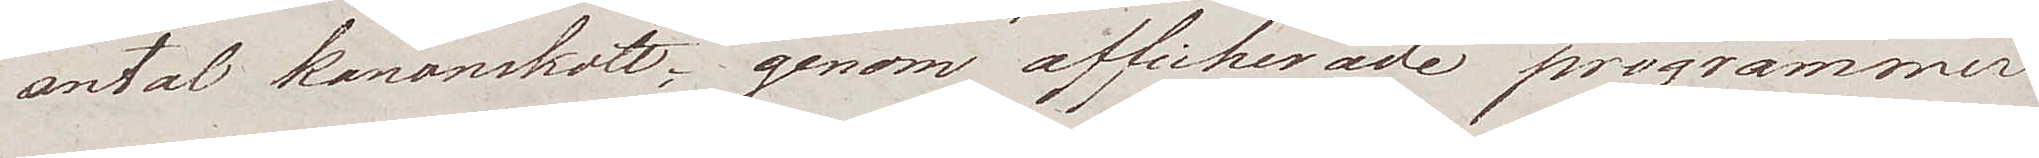antal kanonskott; genom afficherade programmer
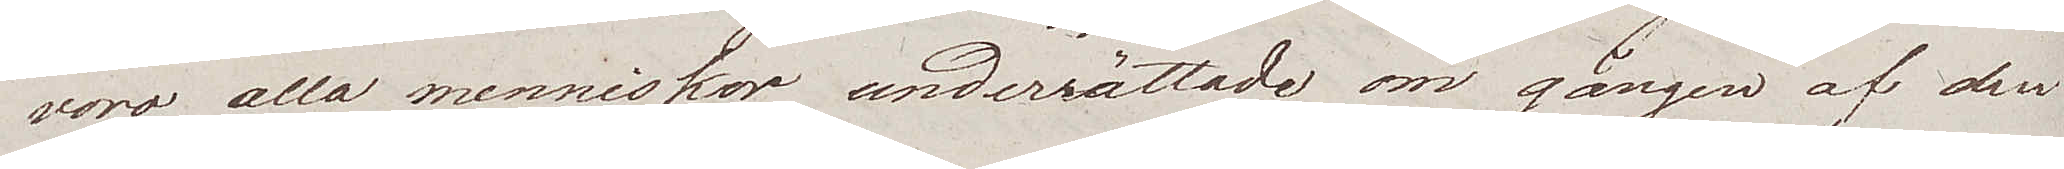woro alla menniskor underrättade om gången af den
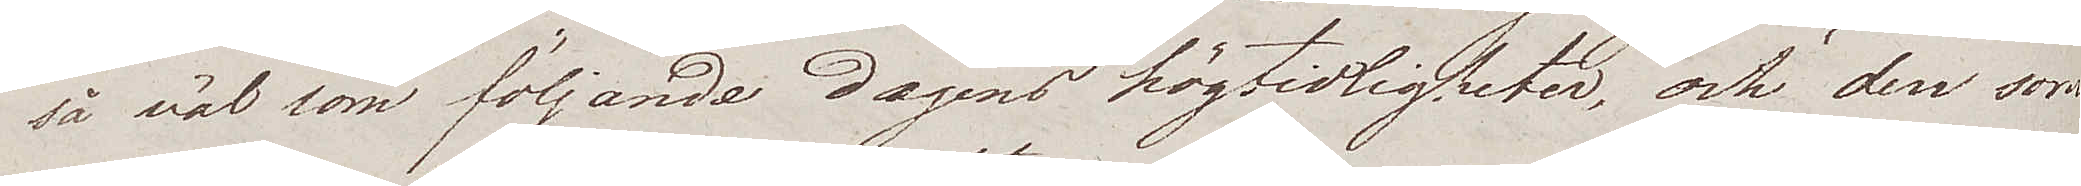så väl som följande dagens högtidligheter, och den som
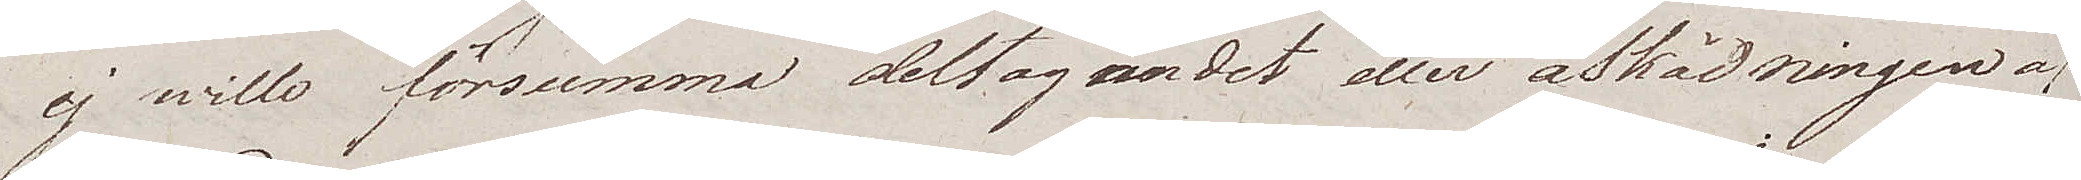ej wille försumma deltagandet eller åskådningen af
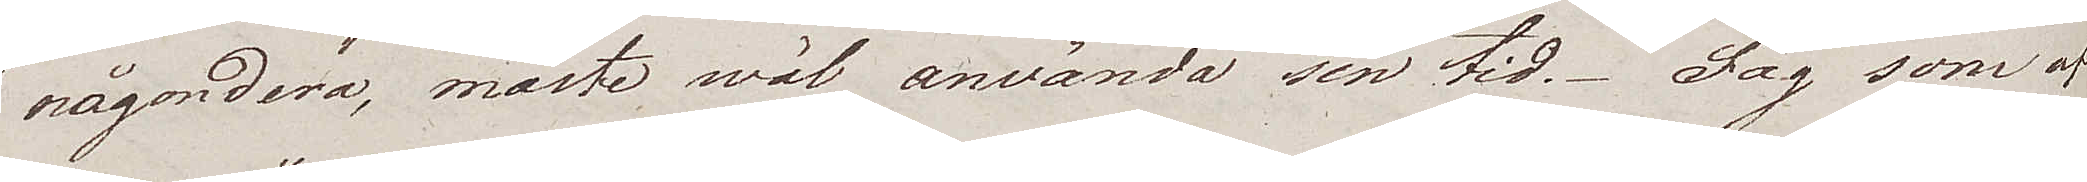någondera, måste wäl använda sin tid. Jag som af
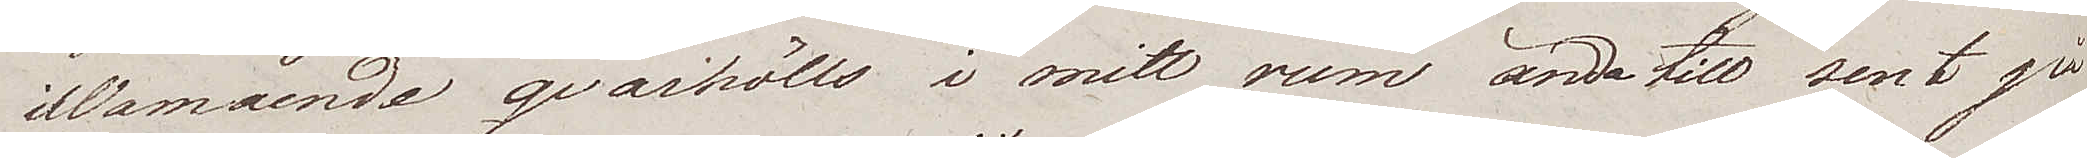illamående qvarhölls i mitt rum ända till sent på
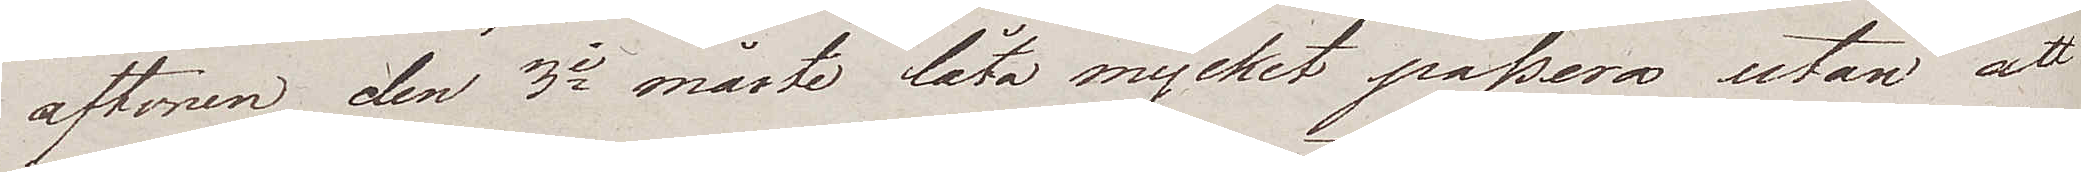aftonen den 3e måste låta mycket passera utan att
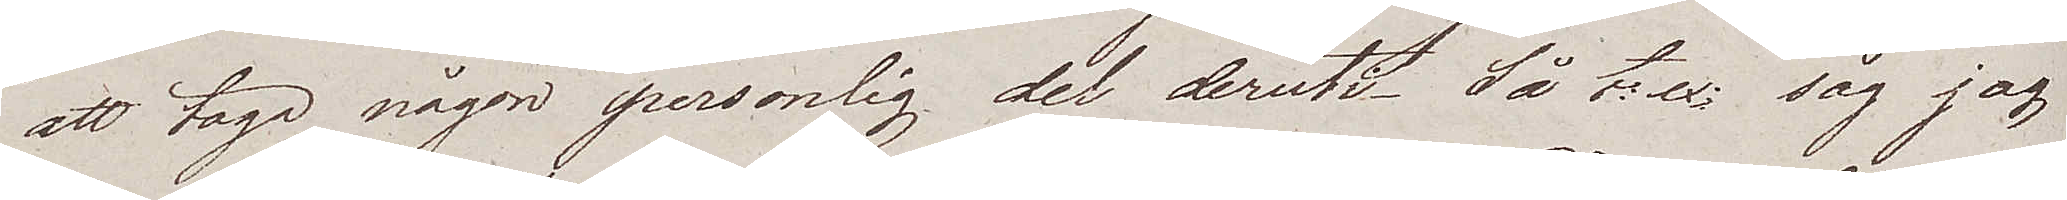att taga någon personlig del deruti. Så t. ex. såg jag
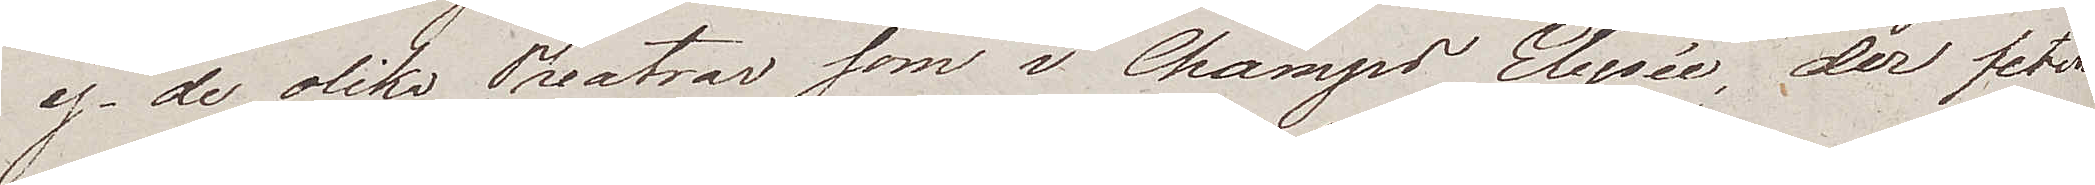ej de olika Theatrar som i Champs Elysée, der feten
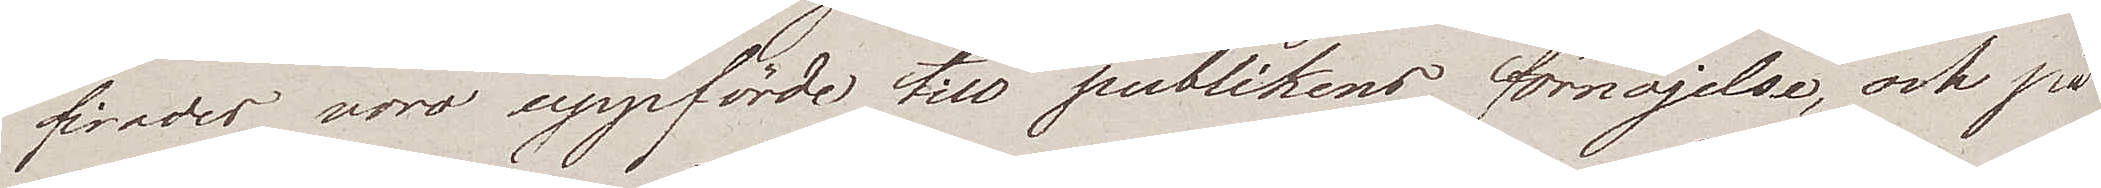firades, woro uppförde till publikens förnöjelse, och på
